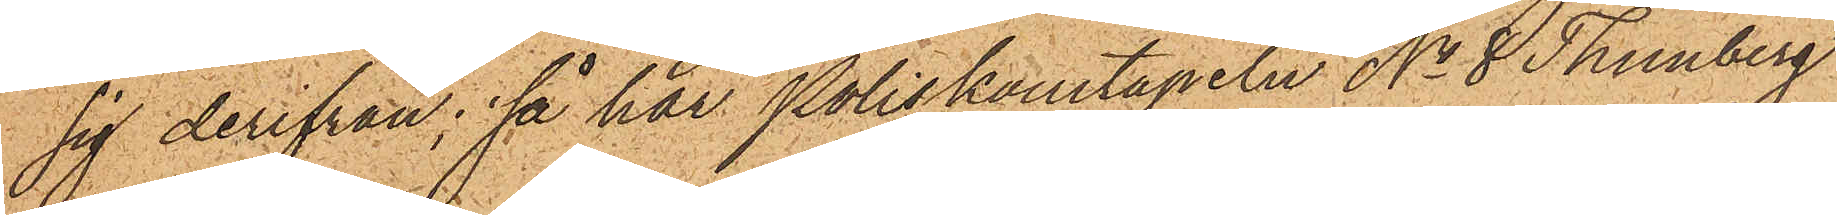sig derifrån; så har Poliskonstapeln No 8 Thunberg
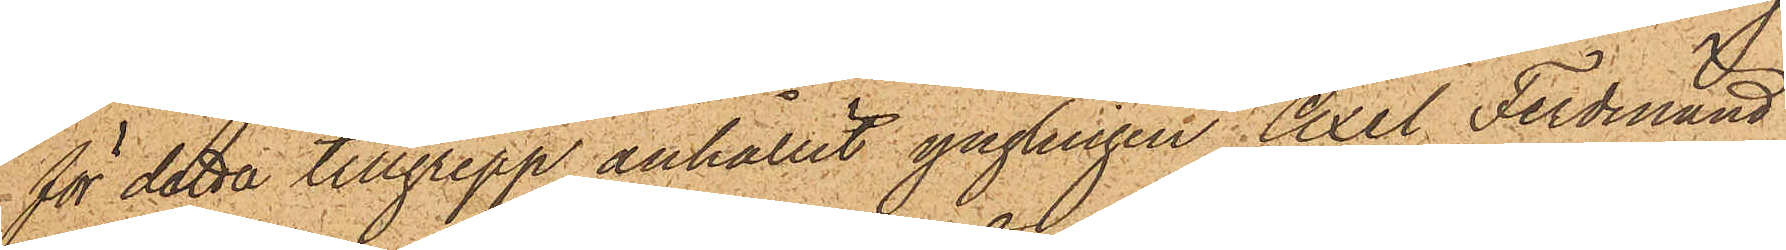för detta tillgrepp anhållit ynglingen Axel Ferdinand
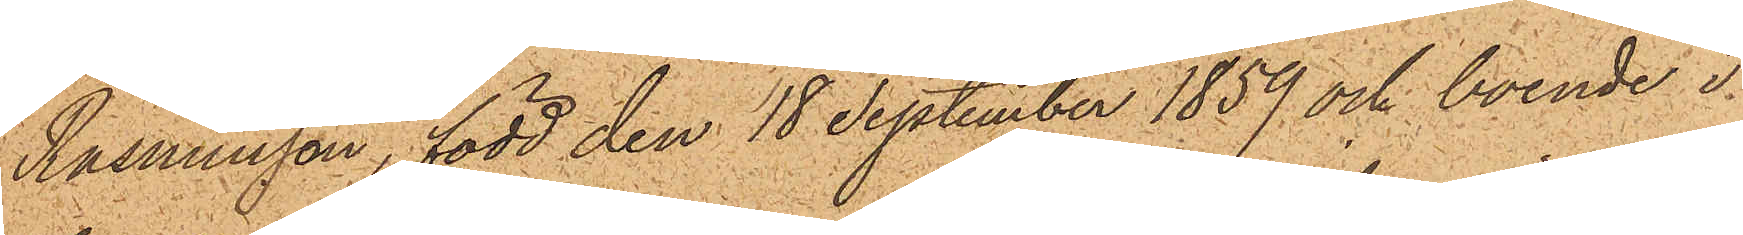Rasmusson, född den 18 September 1859 och boende i
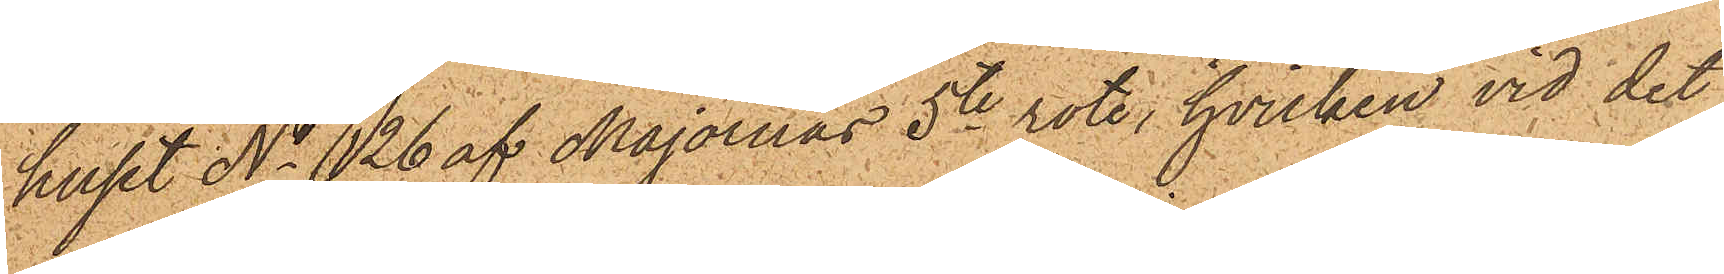huset No 126 af Majornas 5te rote, hvilken vid det
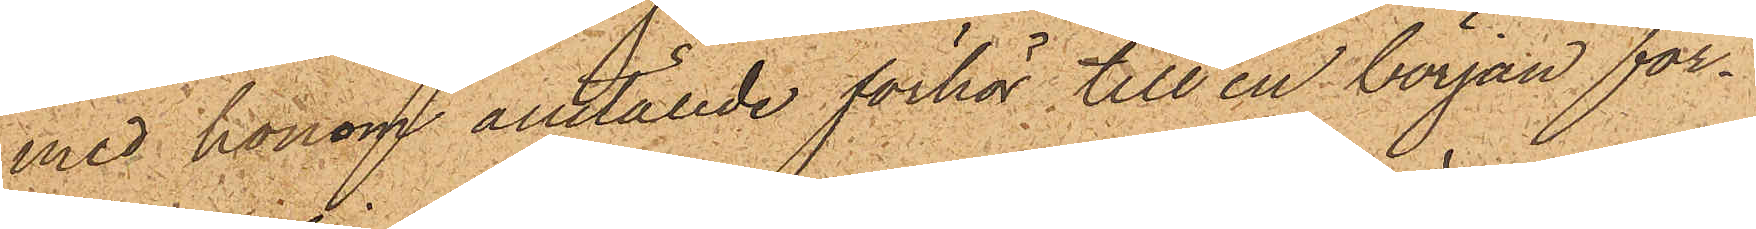med honom anställde förhör till en början för¬
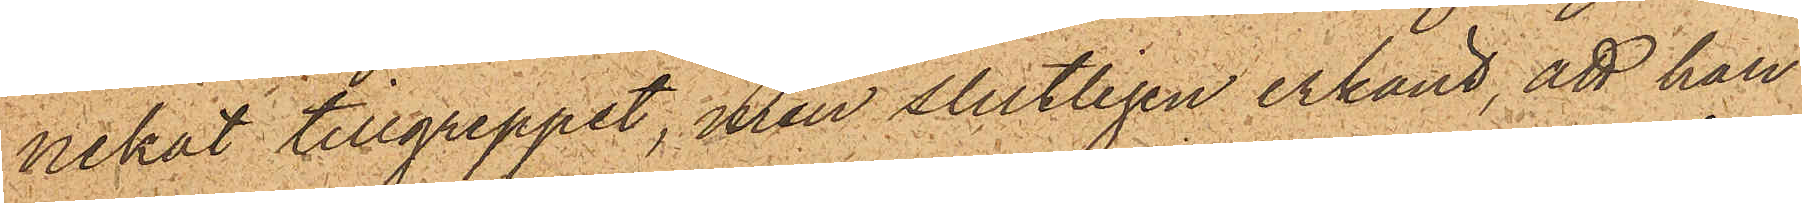nekat tillgreppet, men slutligen erkänt, att han
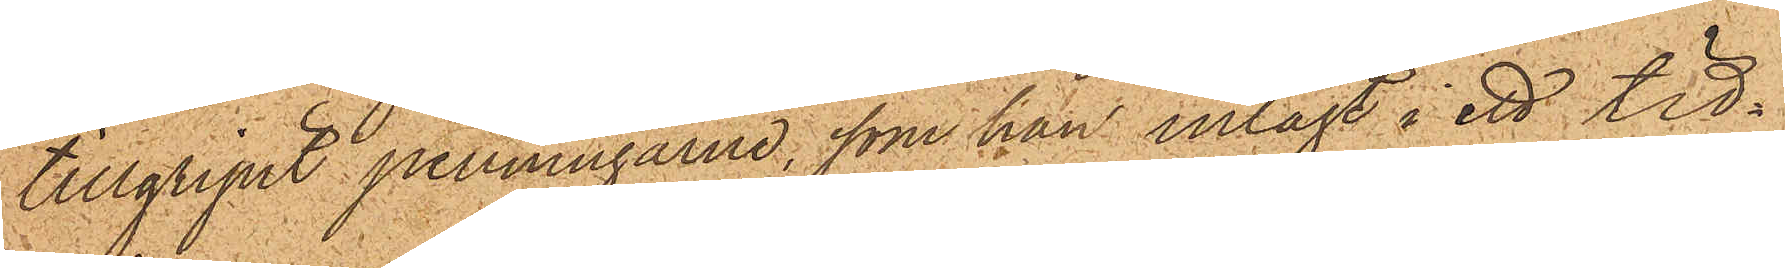tillgripit penningarne, som han inlagt i ett tid¬.
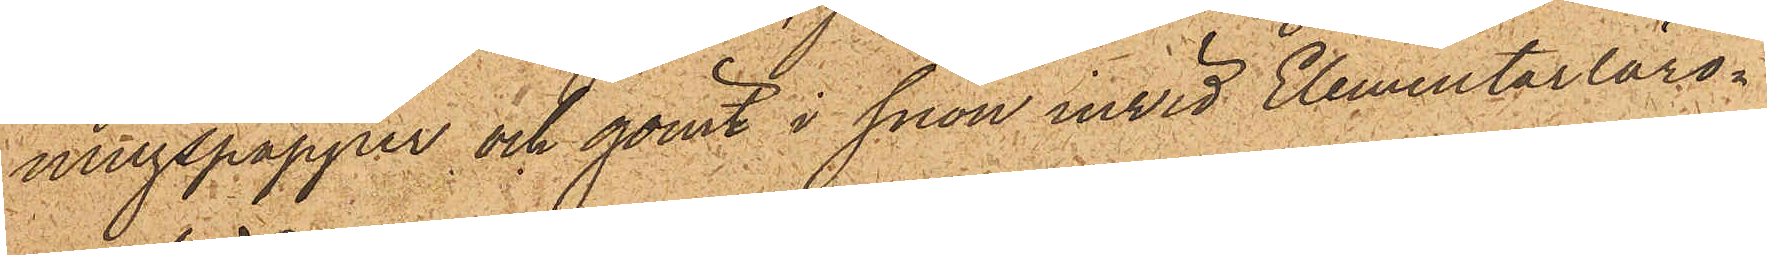ningspapper och gömt i snön invid Elementarläro¬
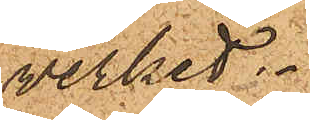verket.
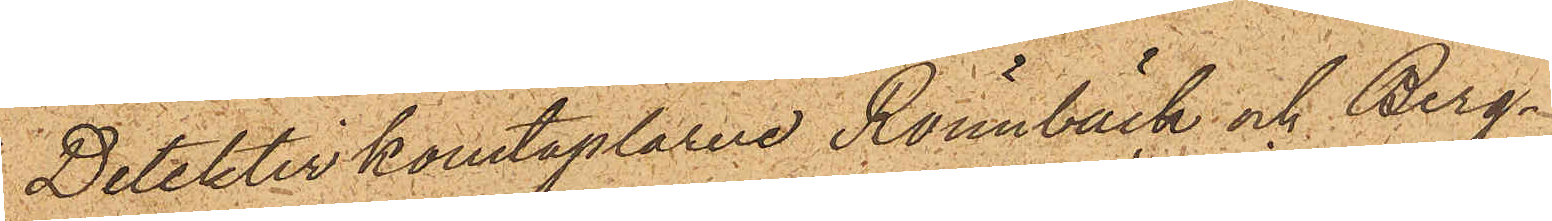Detektivkonstaplarne Rönnbäck och Berg¬
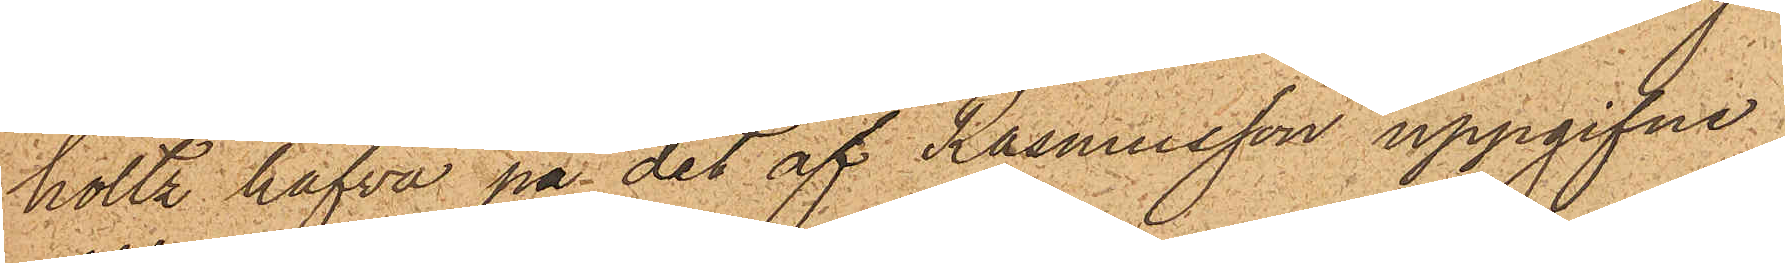holtz hafva på det af Rasmusson uppgifne
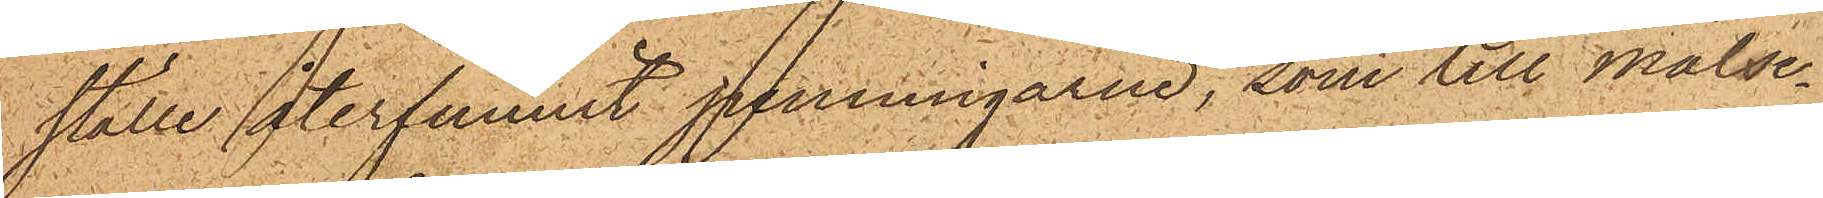ställe återfunnit penningarne, som till målse¬
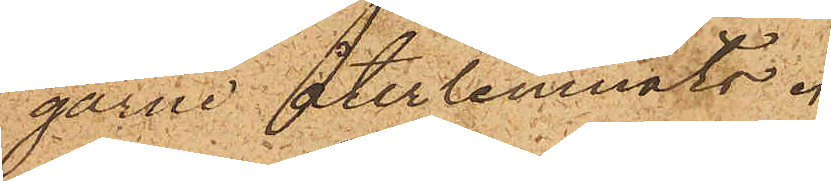garne återlemnats.
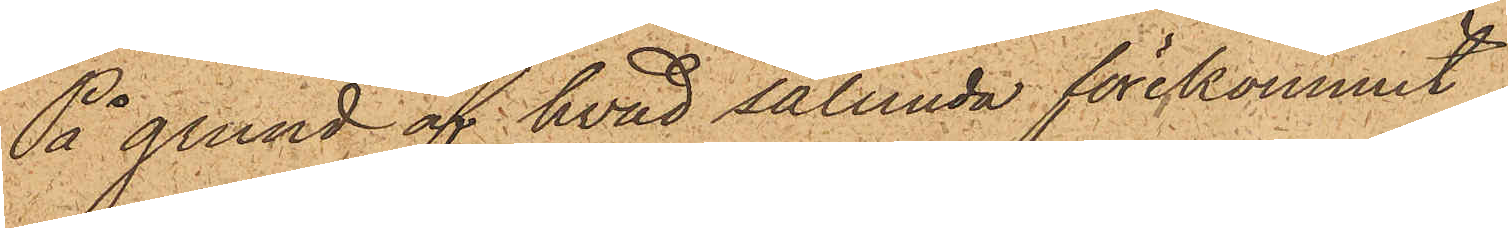På grund af hvad sålunda förekommit,
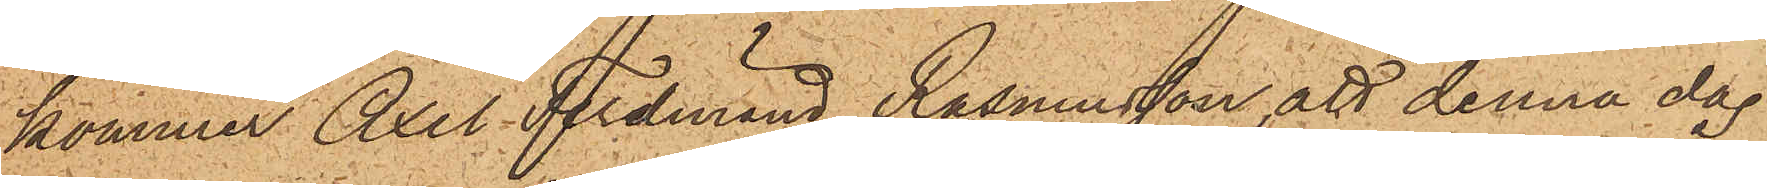kommer Axel Ferdinand Rasmusson att denna dag
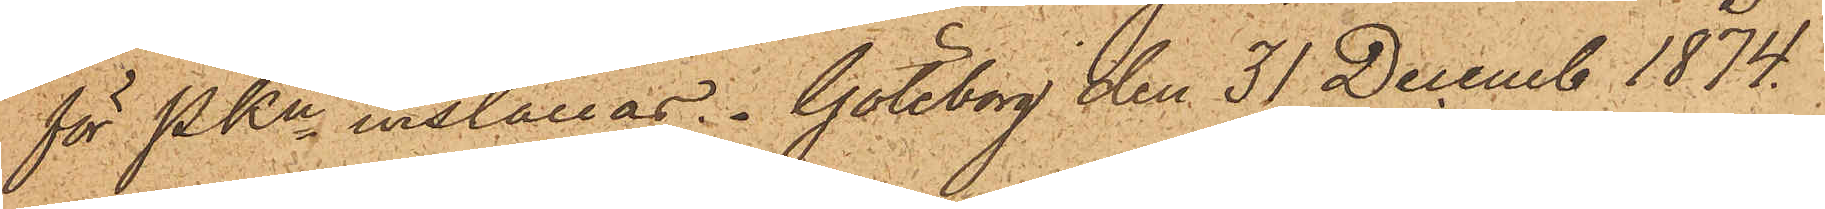för PKn inställas. Göteborg den 31 Decemb 1874.
